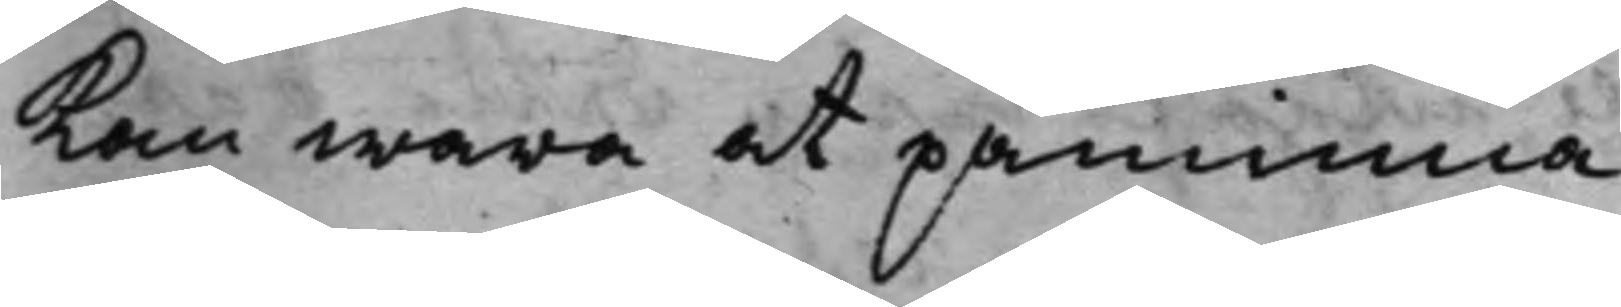kan wara at påminna.
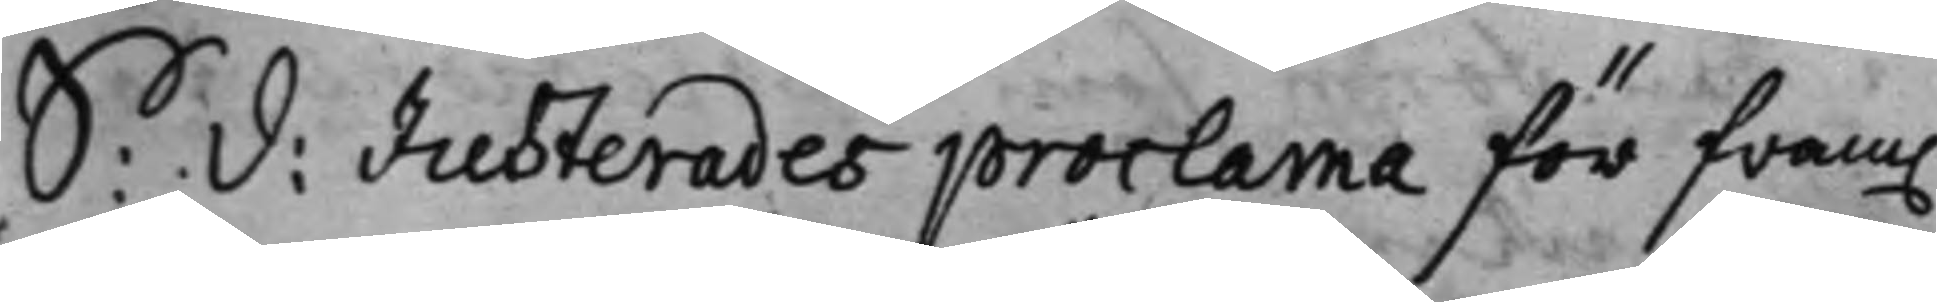S: D: Justerades proclama för fram.
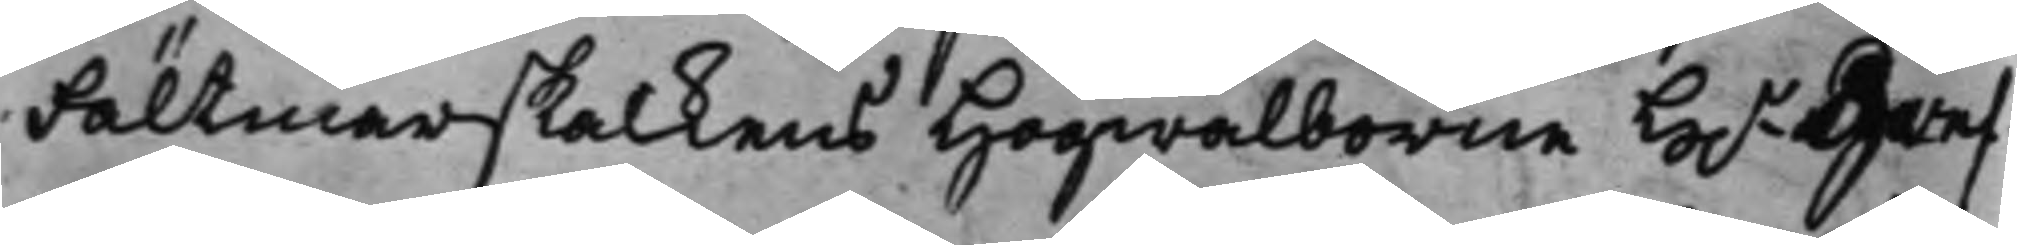Fältmarskalkens Högwälborne H.r Gref¬
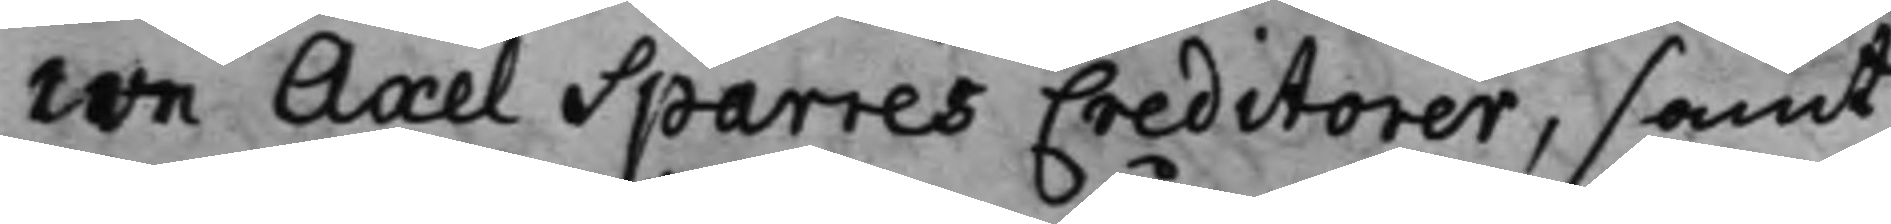we Axel Sparres Creditorer, samt
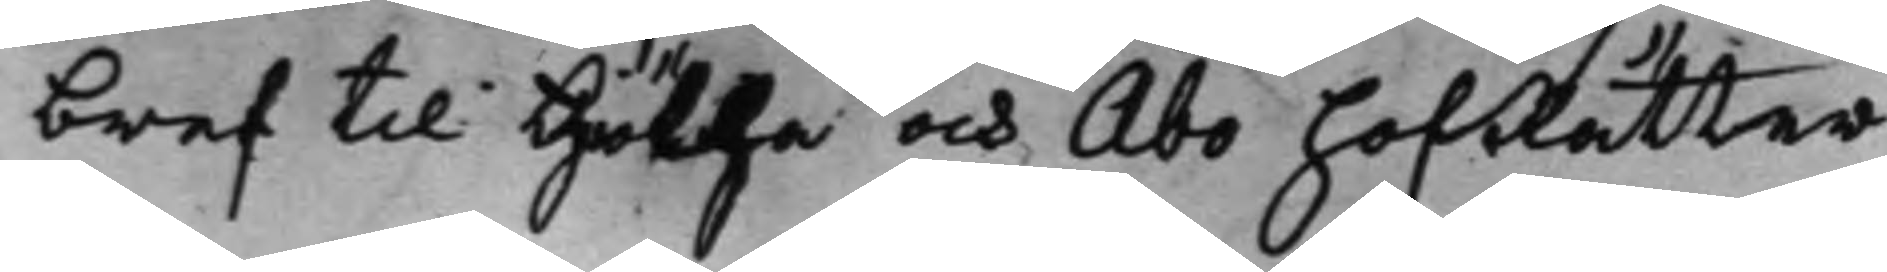bref till Götha och Åbo HofRätter
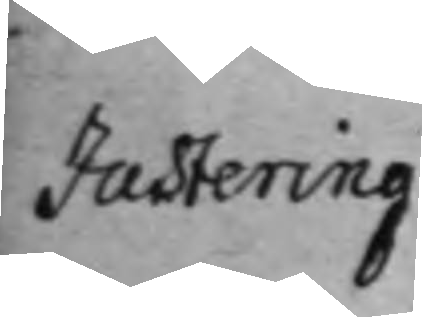Justering
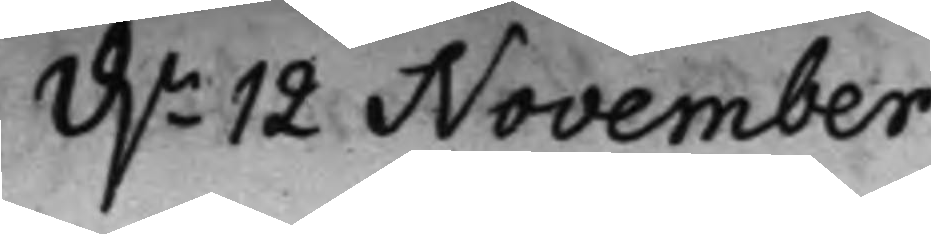d.n 12 November
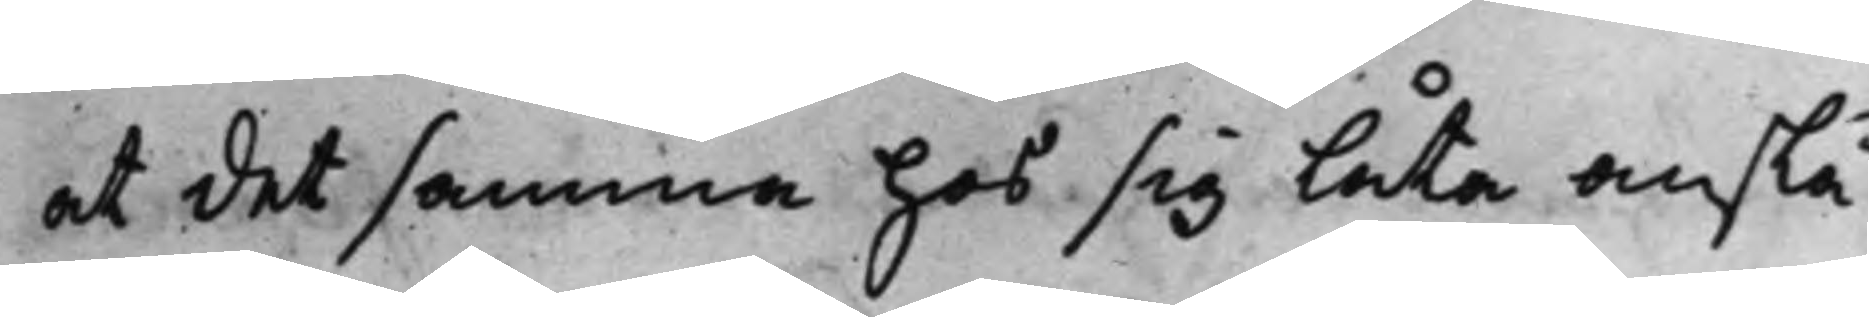at det samma hos sig låta anslå
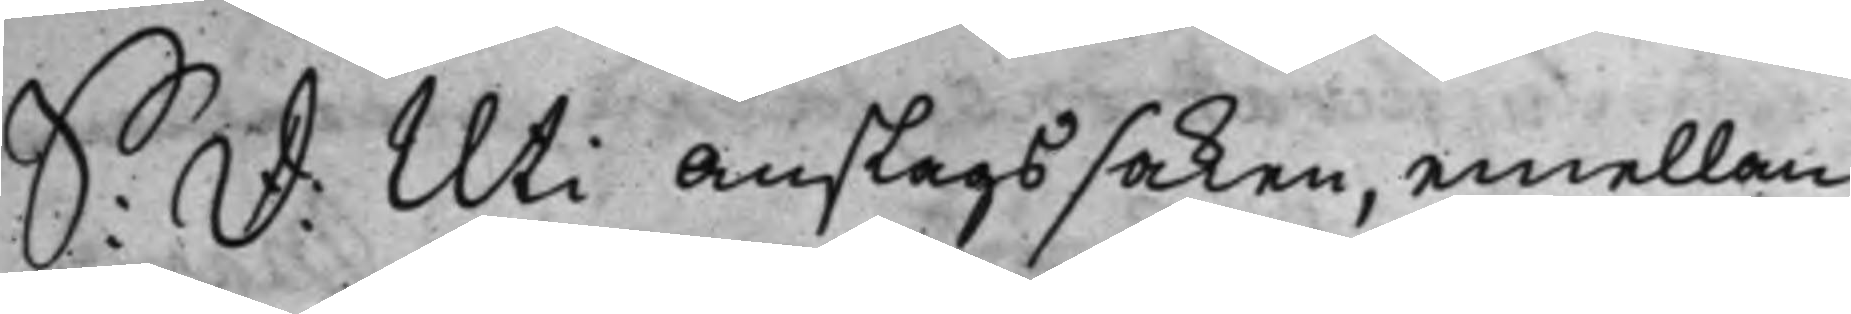S: D: Uti anslags saken, emellan
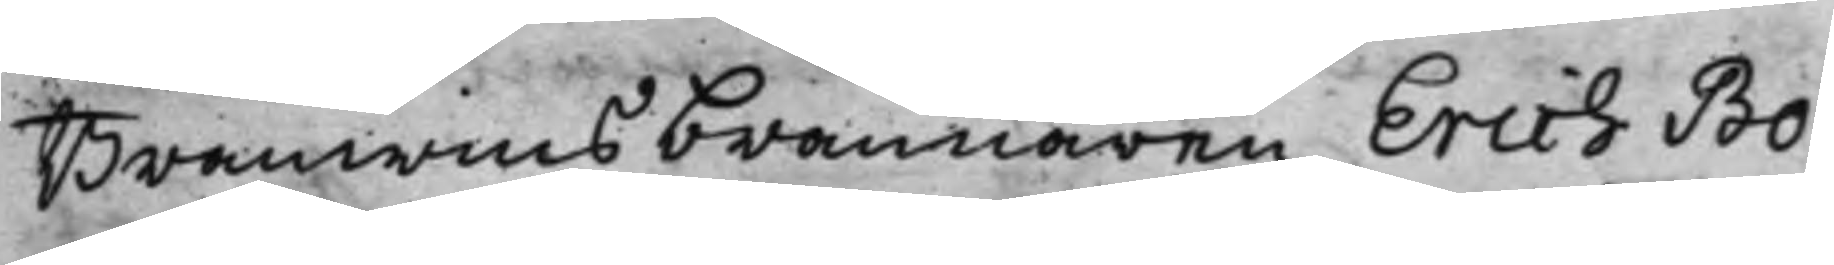Bränwinsbrännaren Erich Bo¬
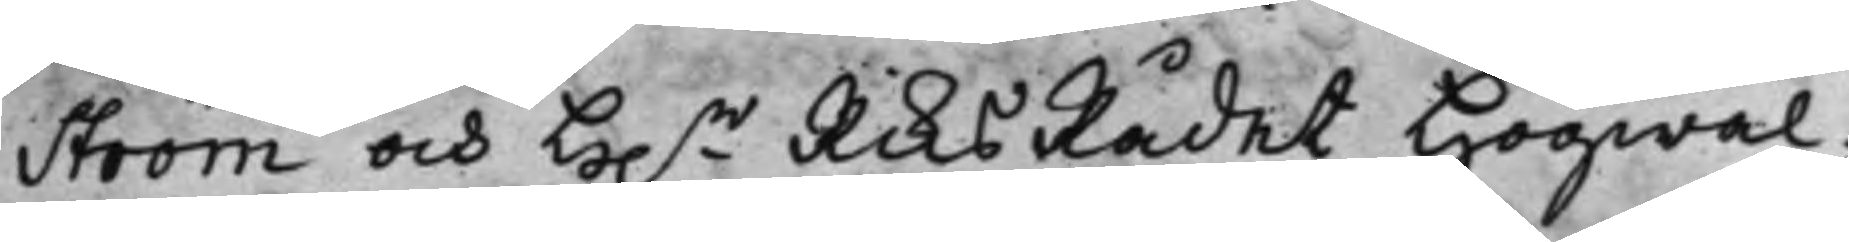ström och H.r RiksRådet Högwäl¬
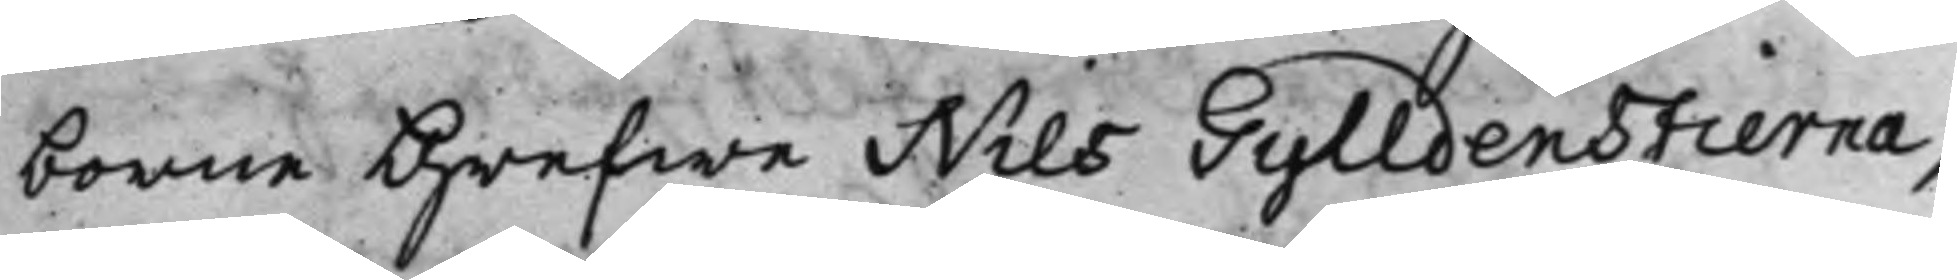borne Grefwe Nils Gylldenstierna,
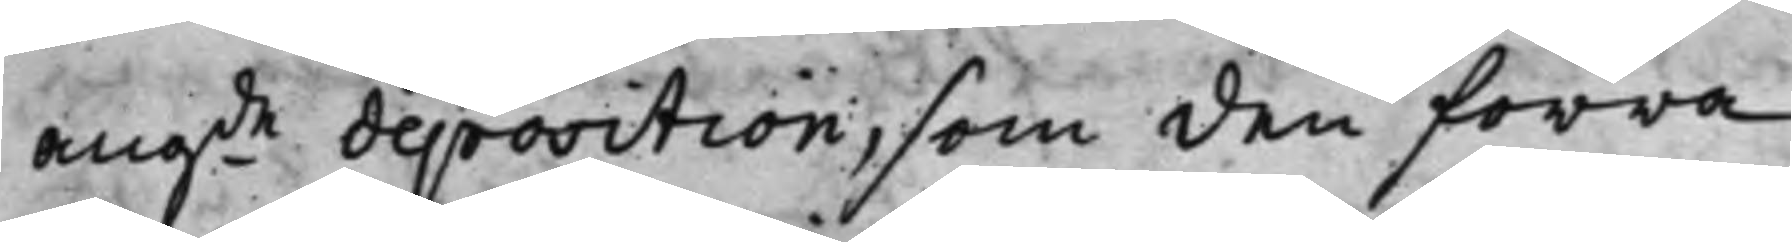angde deposition, som den förra
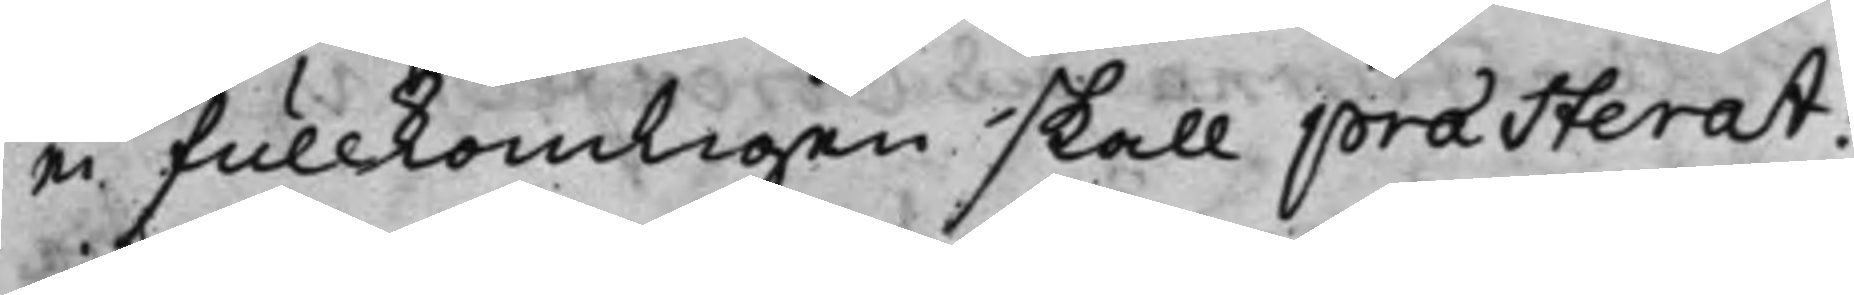ei fullkomligen skall præsterat:
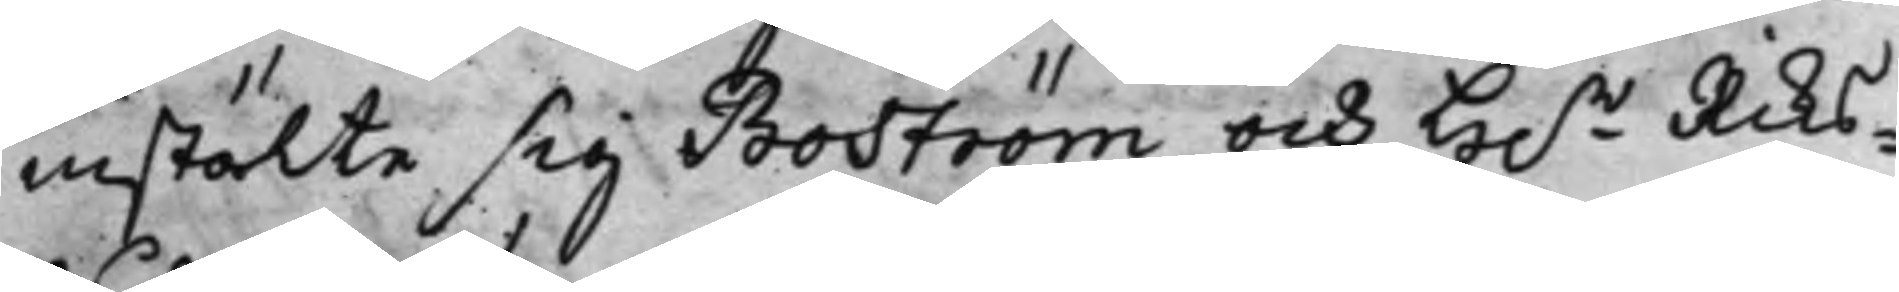instälte sig Boström och H.r Riks¬
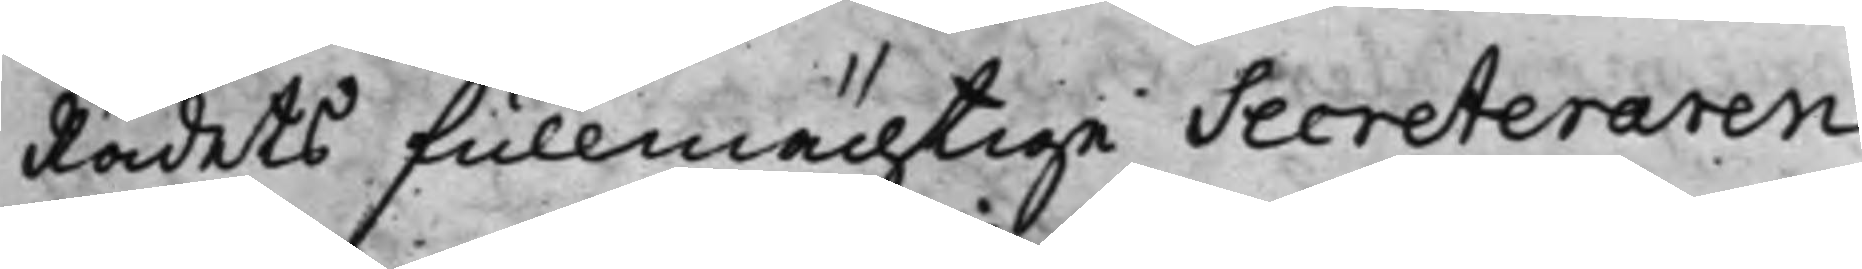Rådets fullmächtige Secreteraren
